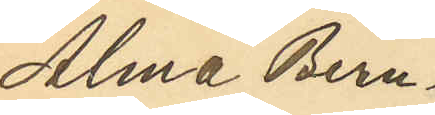Alma Bern¬
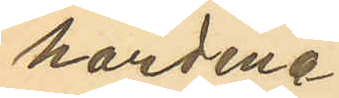hardina
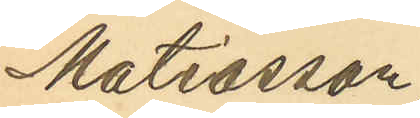Matiasson,
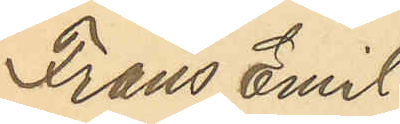Frans Emil
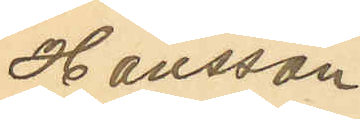Hansson
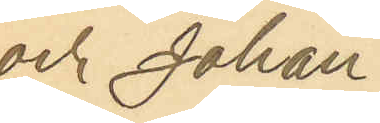och Johan
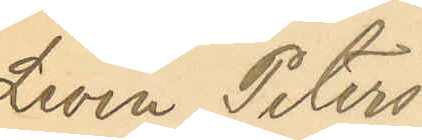Levin Peters¬
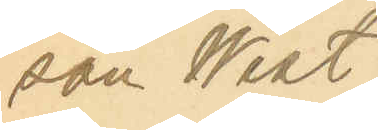son West¬
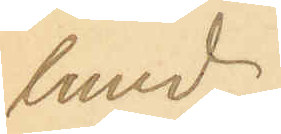lund
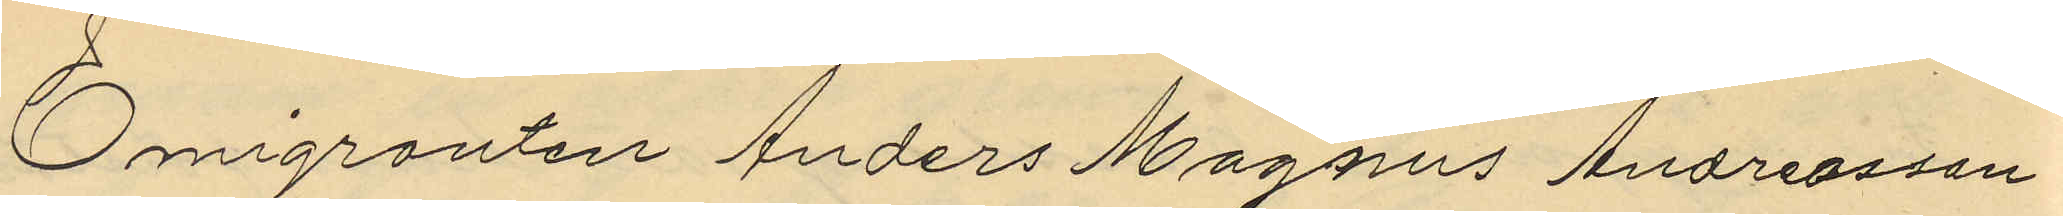Emigranten Anders Magnus Andreasson
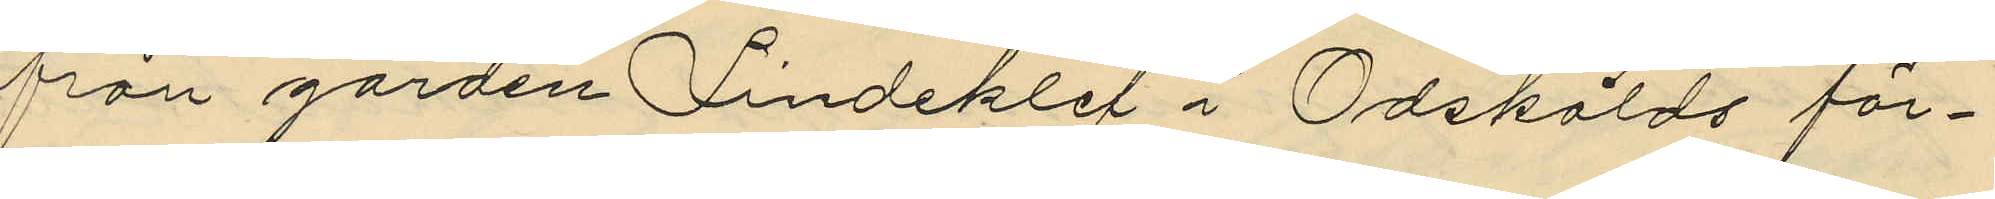från gården Lindeklef i Odskölds för¬
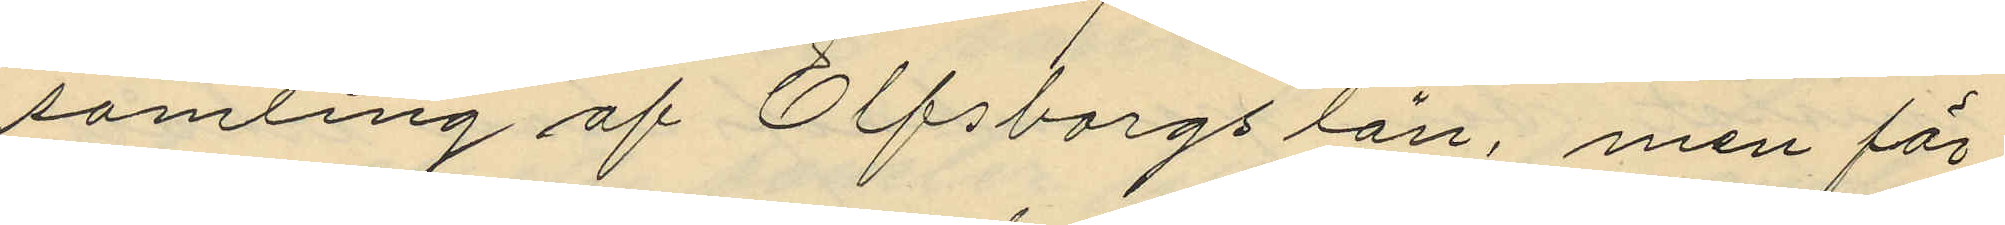samling af Elfsborgs län, men för
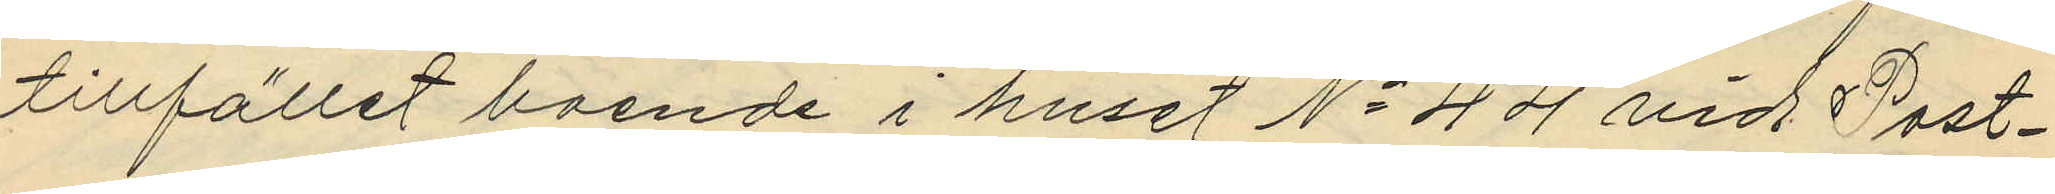tillfället boende i huset No 44 vid Post¬
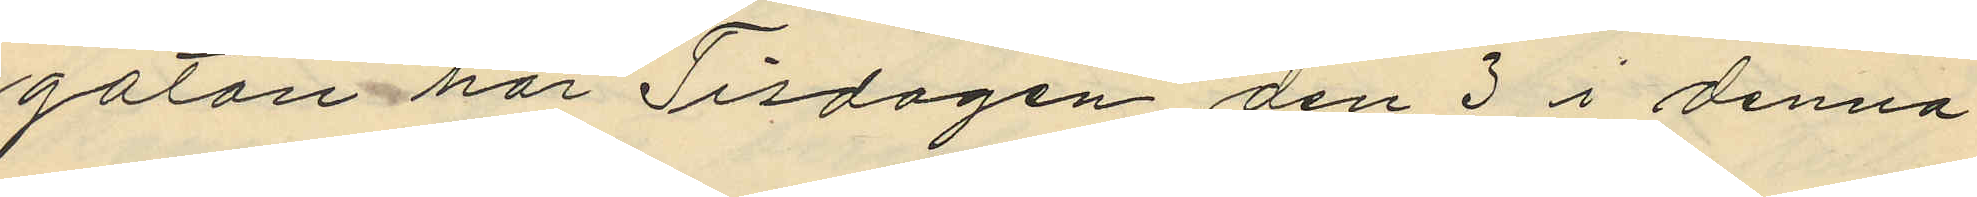gatan har Tisdagen den 3 i denna
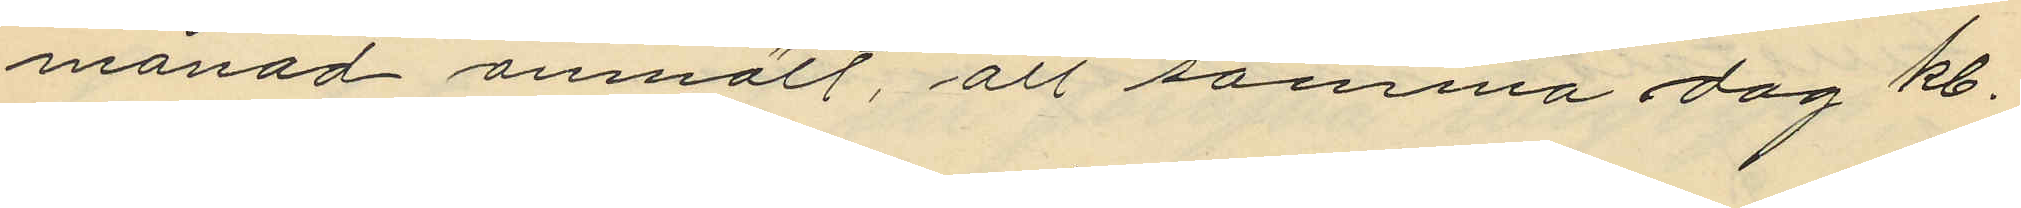månad anmält, att samma dag kl.
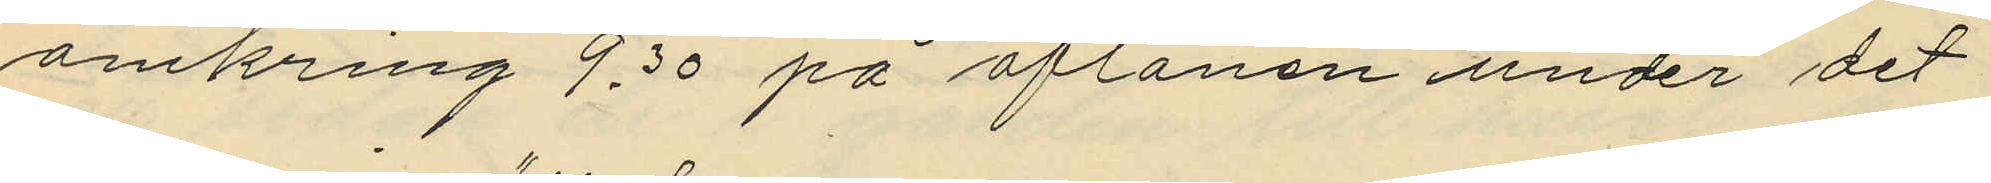omkring 9,30 på aftonen under det
